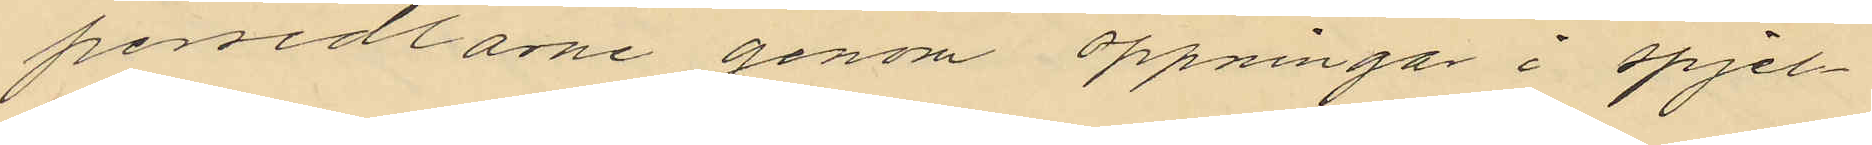persedlarne genom öppningar i spjel¬
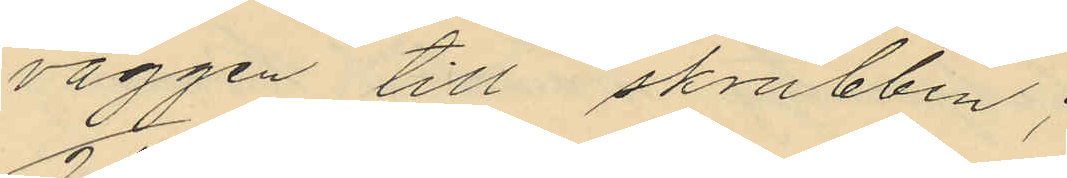väggen till skrubben;
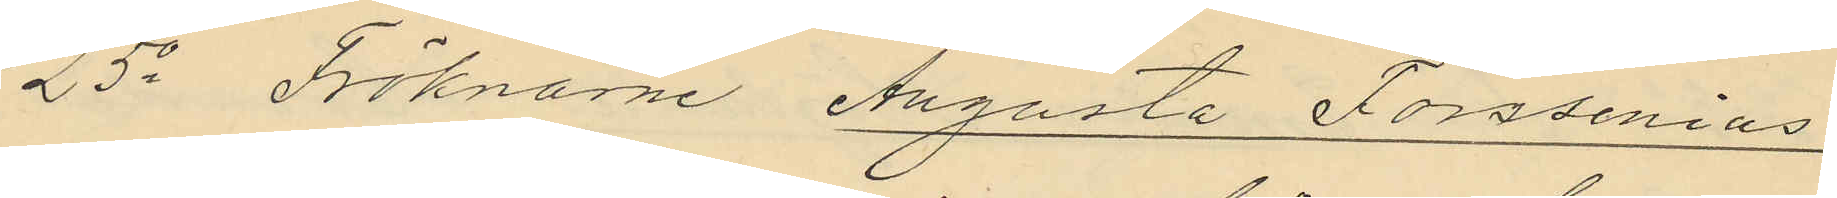25o Fröknarne Augusta Forssenius
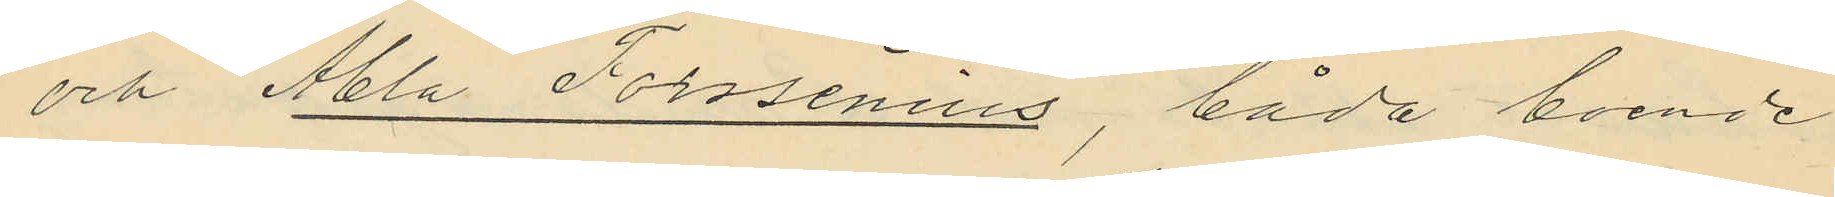och Abla Forssenius, båda boende
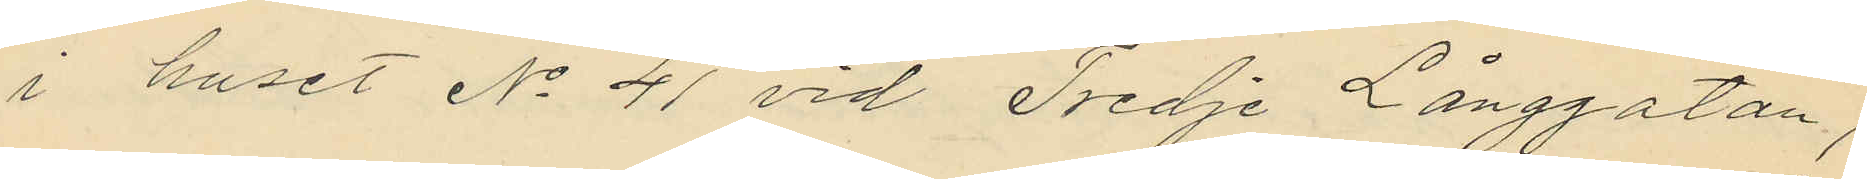i huset No 41 vid Tredje Långgatan,
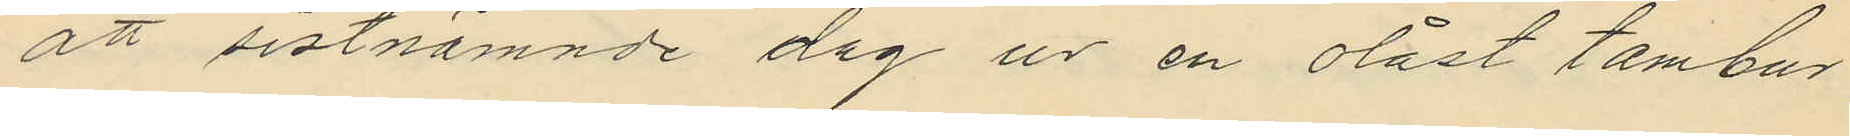att sistnämnde dag ur en olåst tambur
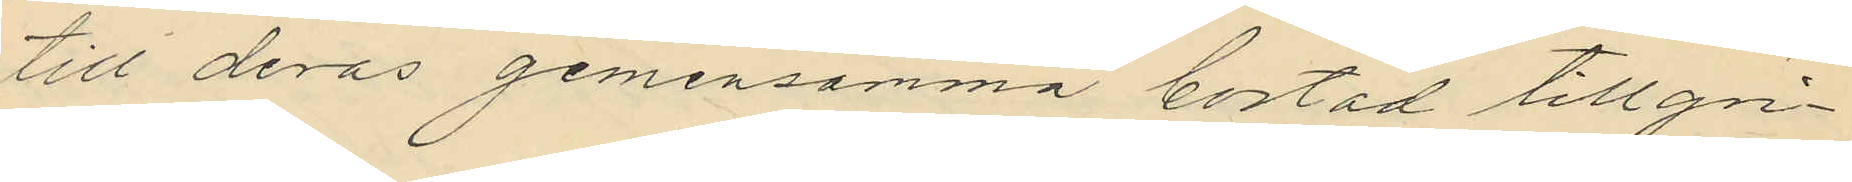till deras gemensamma bostad tillgri¬
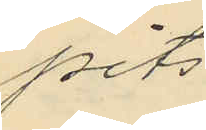pits
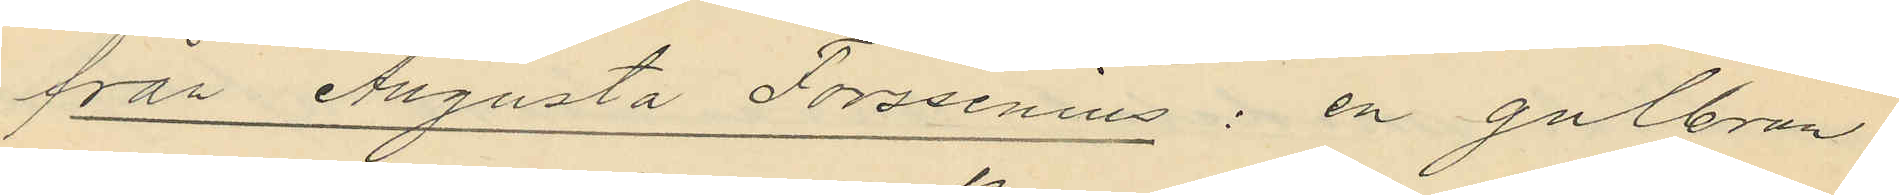från Augusta Forssenius: en gulbrun
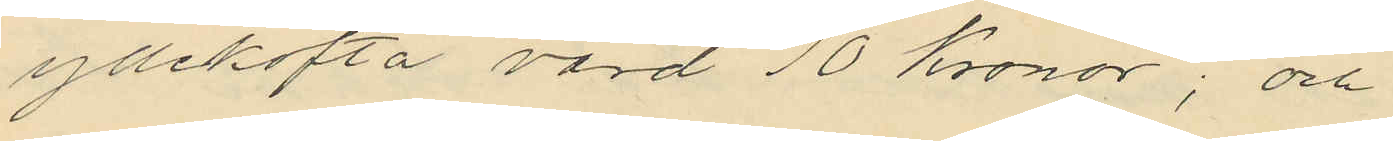yllekofta värd 10 Kronor; och
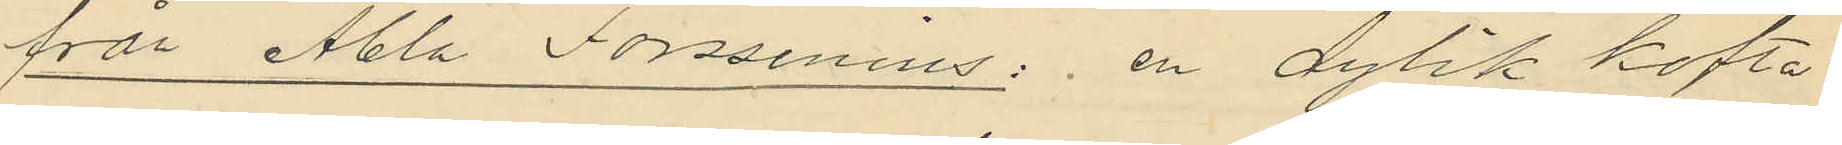från Abla Forssenius: en dylik kofta
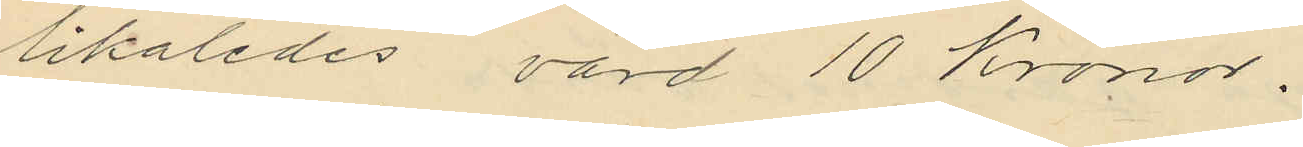likaledes värd 10 Kronor.
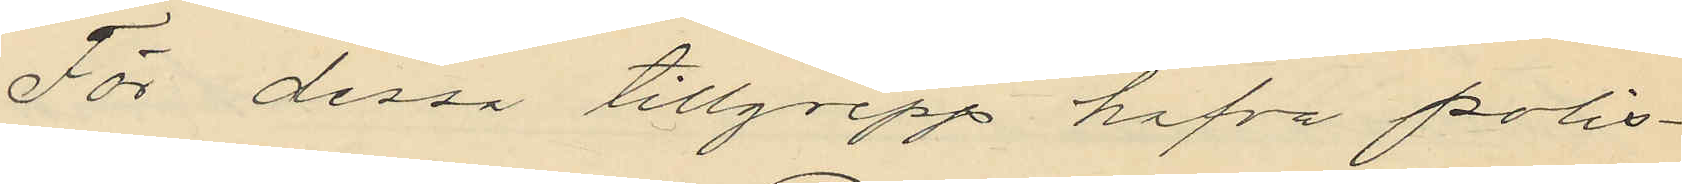För dessa tillgrepp hafva polis¬
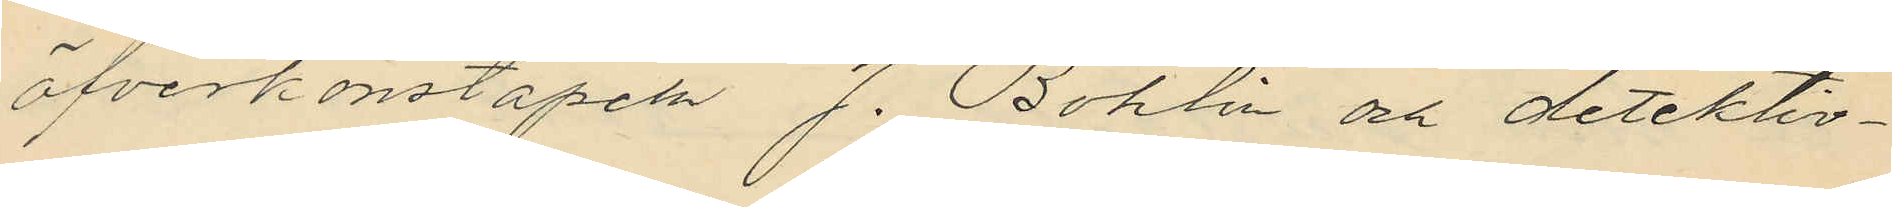öfverkonstapeln J. Bohlin och detektiv¬
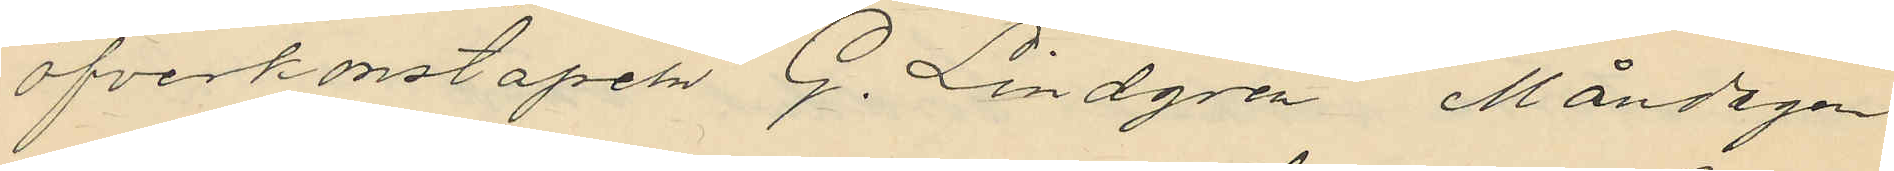öfverkonstapel G. Lindgren Måndagen
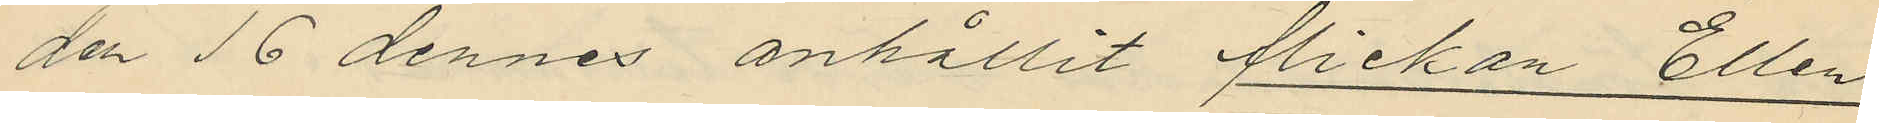den 16 dennes anhållit flickan Ellen
